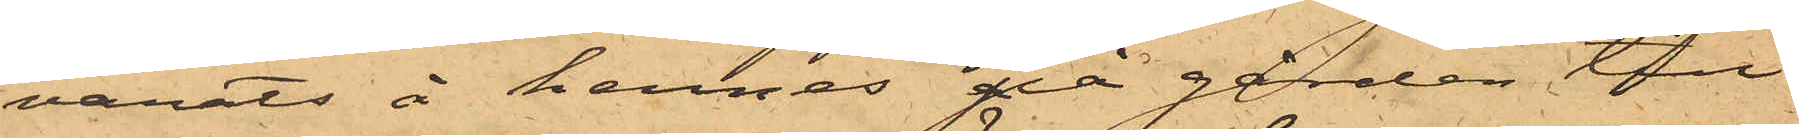varits å hennes på gården till
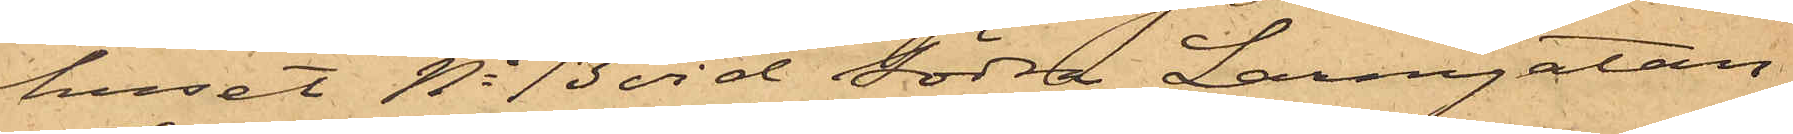huset No 13 vid Södra Larmgatan
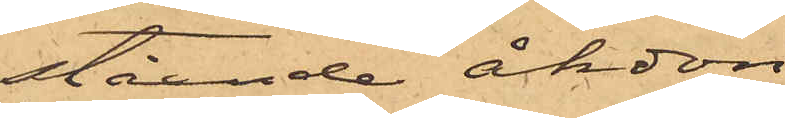stående åkdon.
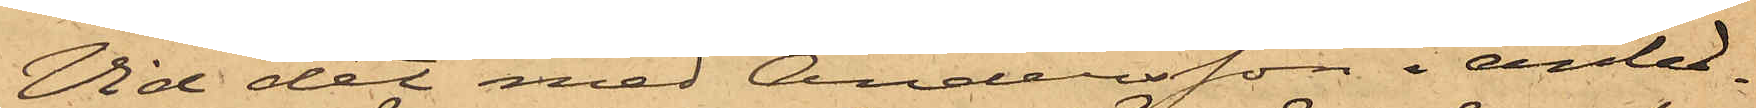Vid det med Andersson i anled¬
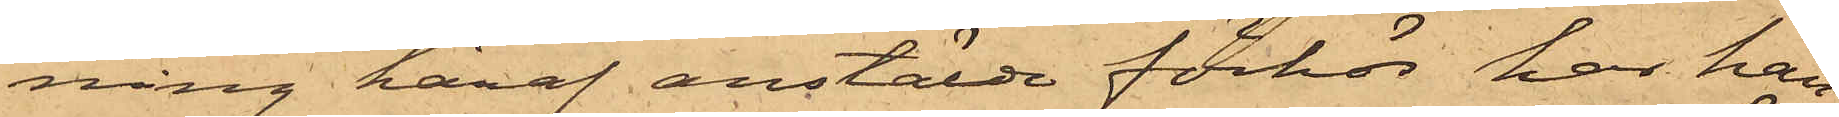ning häraf anstälde förhör har han
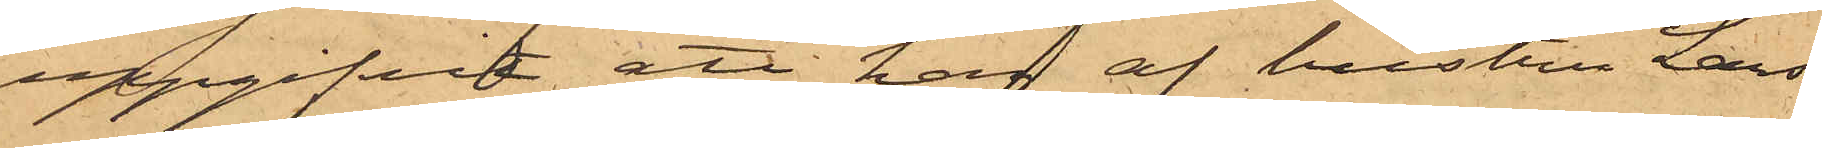uppgifvit, att han af hustru Lars¬
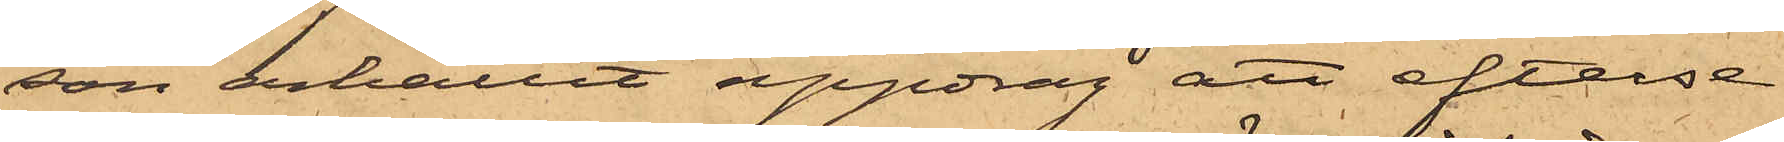son erhållit uppdrag att efterse
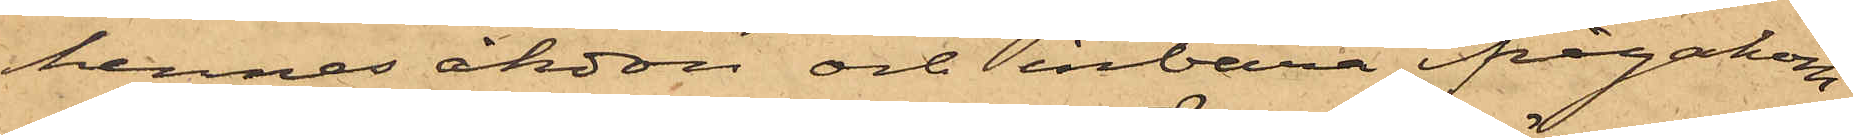hennes åkdon och inbära ifrågakom¬
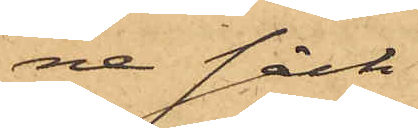ne säck
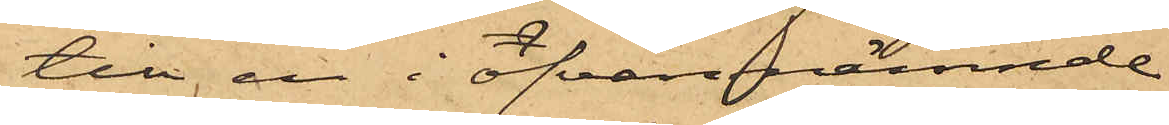till en i ofvannämnde
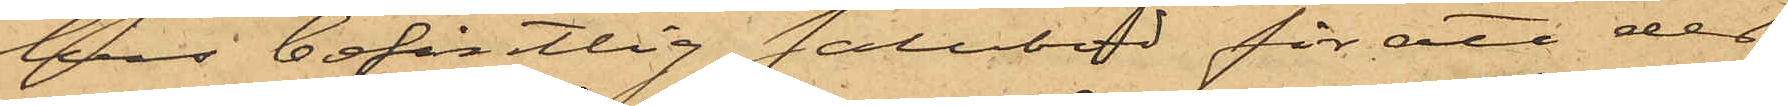hus befintlig salubod för att det
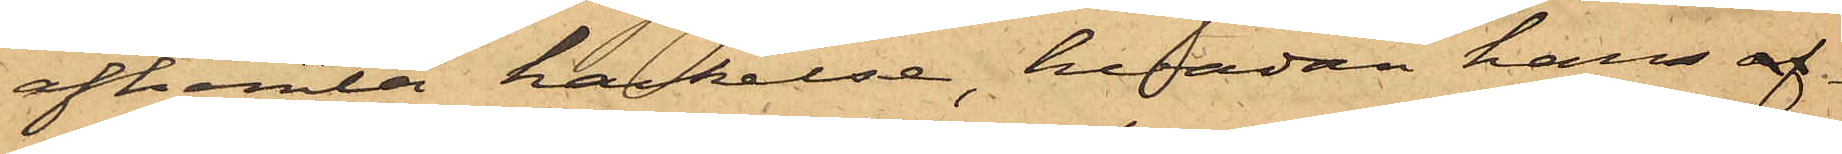afhemta hackelse, hvadan han af¬
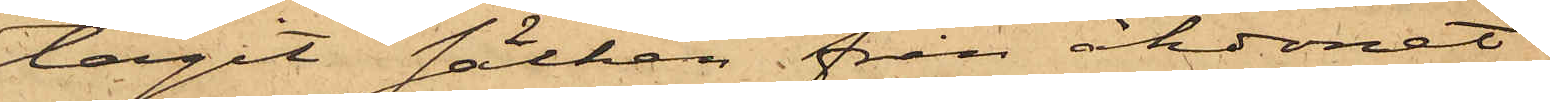tagit säcken från åkdonet
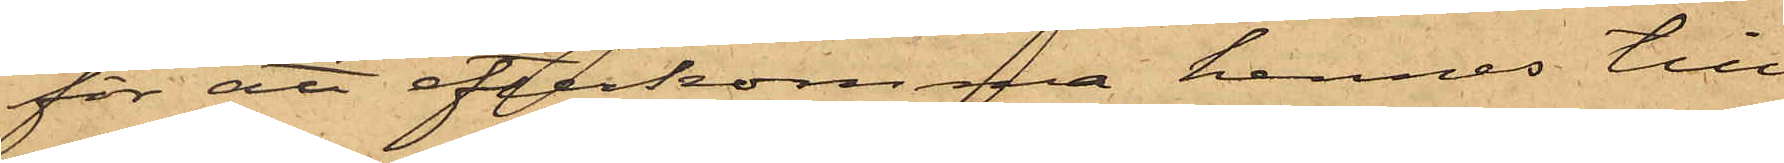för att efterkomma hennes till¬
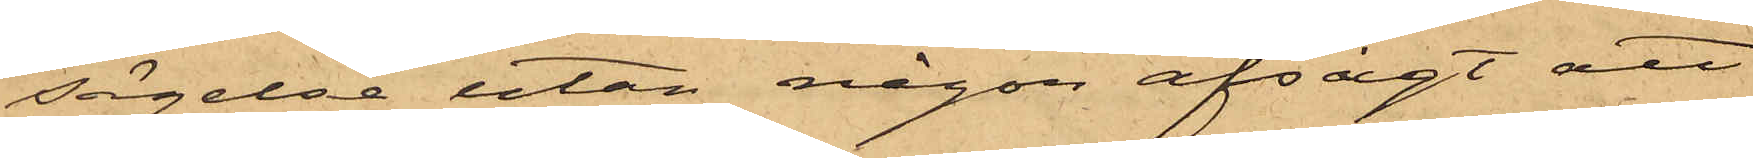sägelse utan någon afsigt att
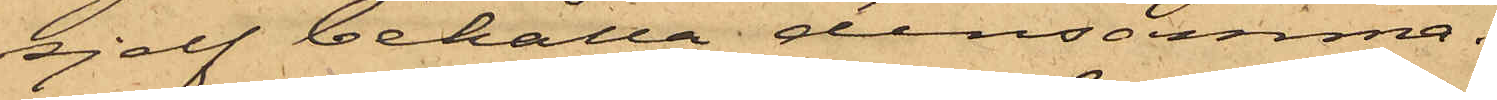sjelf behålla densamma.
